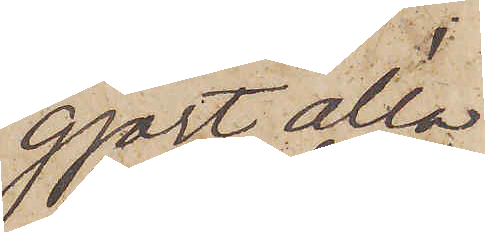gjort alla
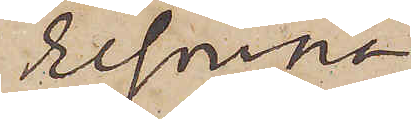resorna
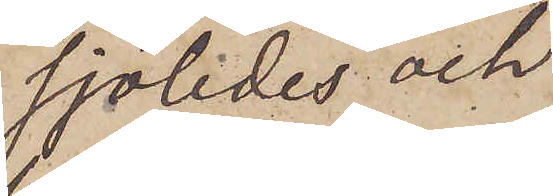sjöledes och
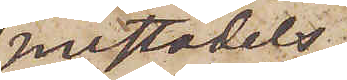mestadels
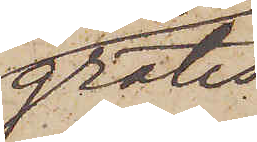gratis
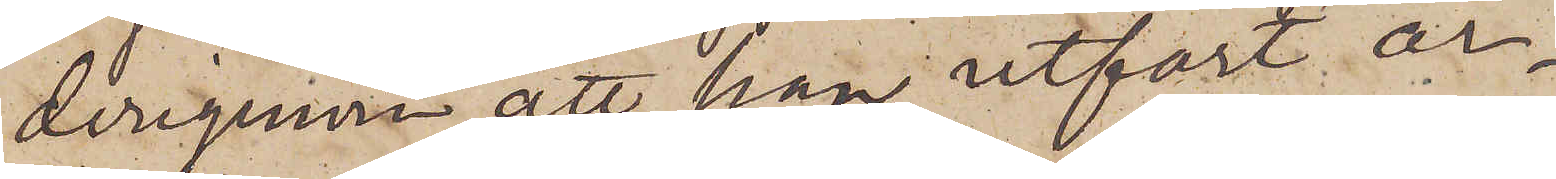derigenom att han utfört ar¬
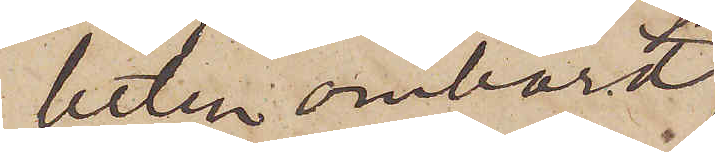beten ombord;
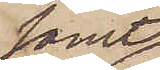samt
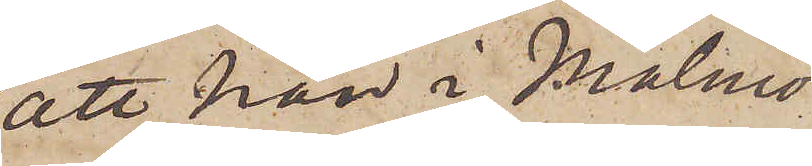att han i Malmö
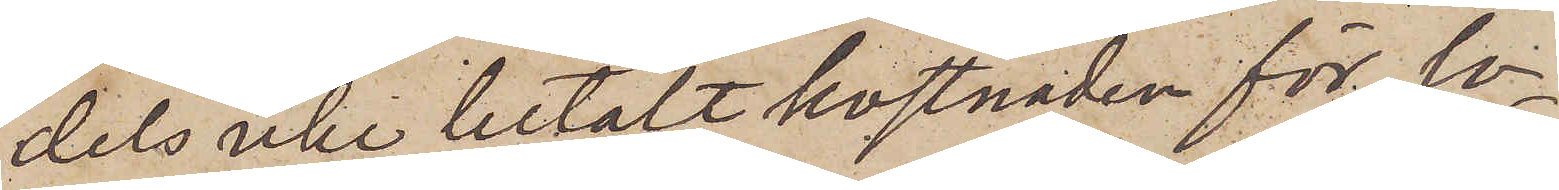dels icke betalt kostnaden för lo¬
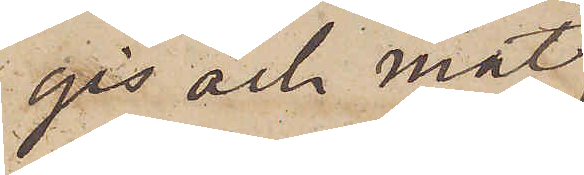gis och mat,
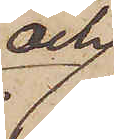och
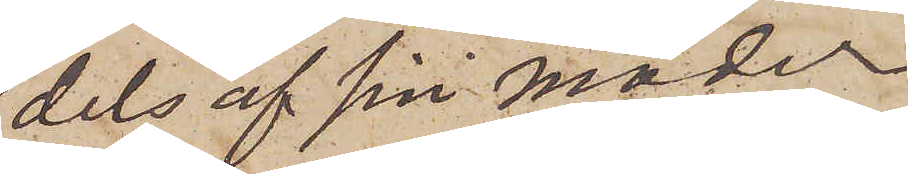dels af sin moder
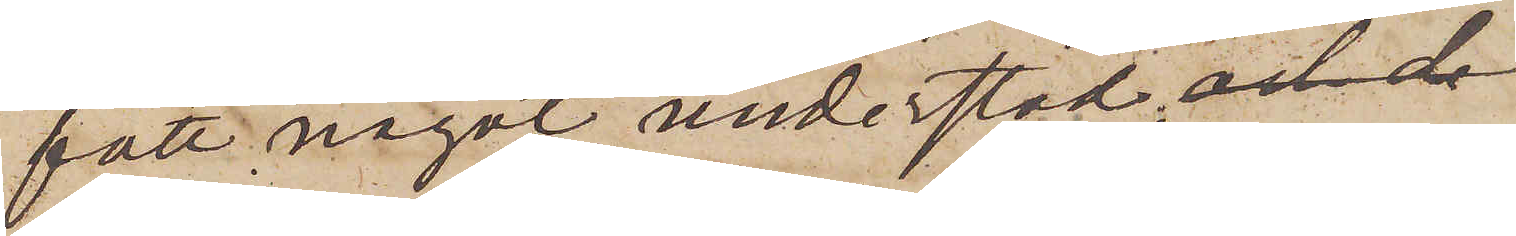fått något understöd.
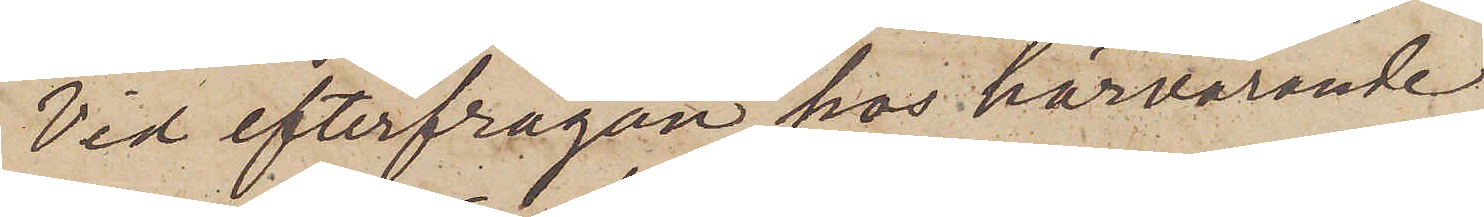Vid efterfrågan hos härvarande
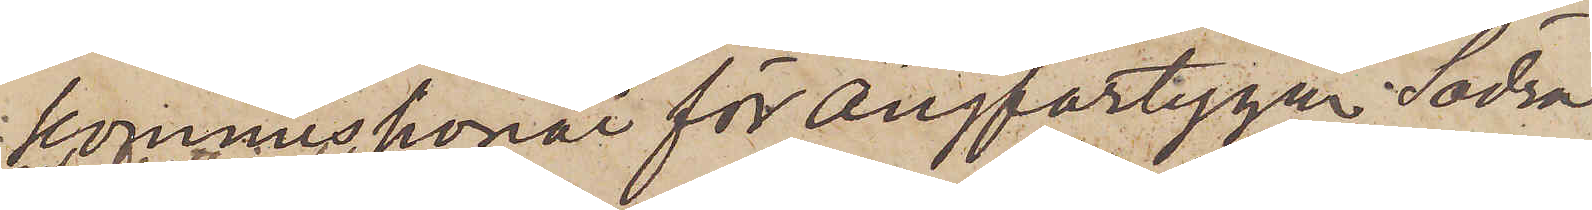kommisionär för Ångfartygen Södra
